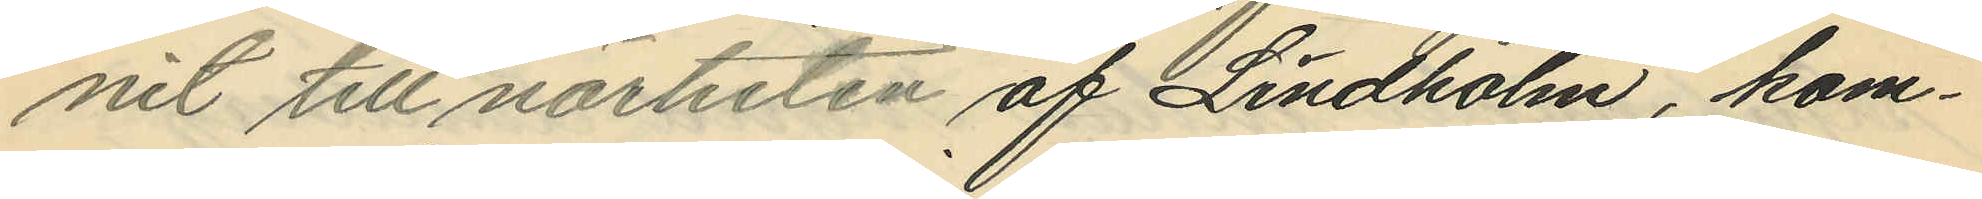nit till närheten af Lindholm, kom¬
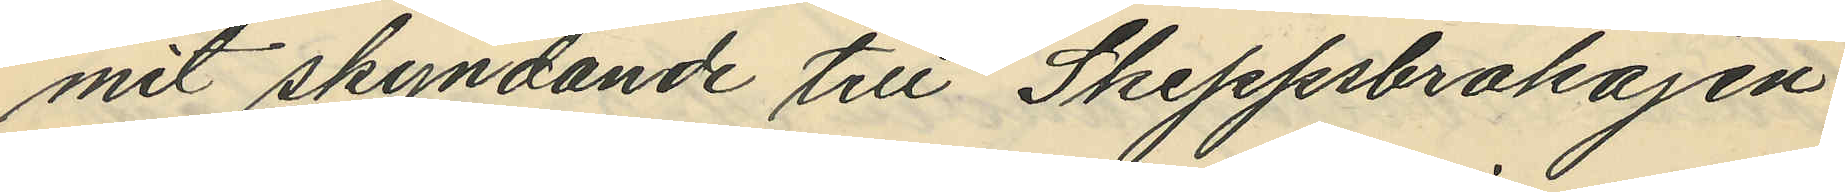mit skyndande till Skeppsbrokajen
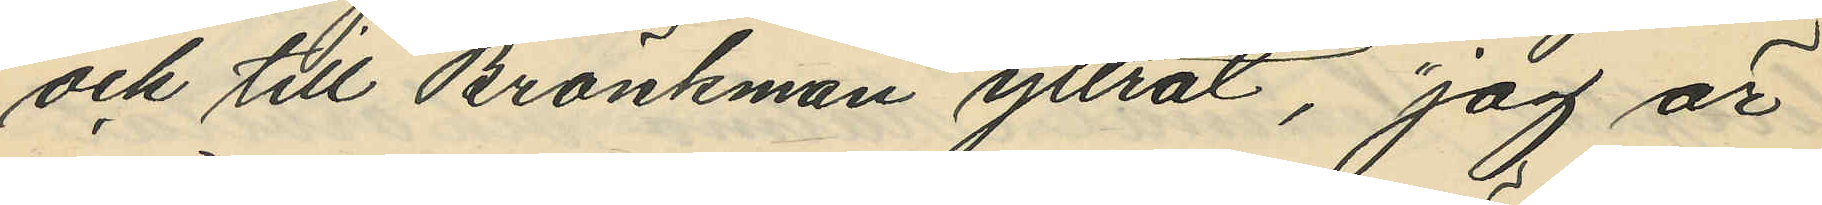och till Bränkman yttrat, "jag är
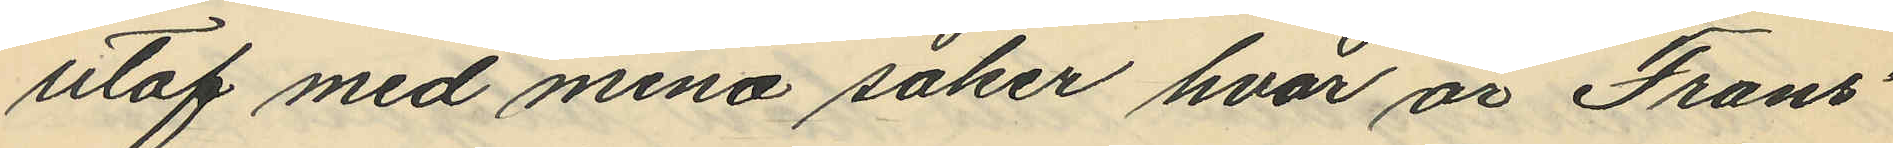utaf med mina saker hvar är Frans"
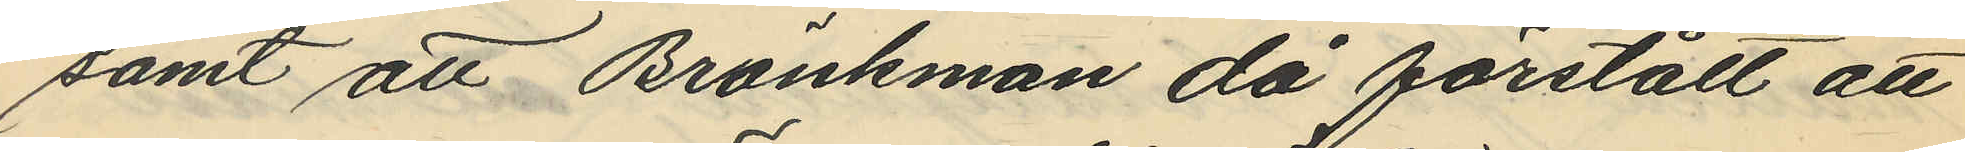samt att Bränkman då förstått att
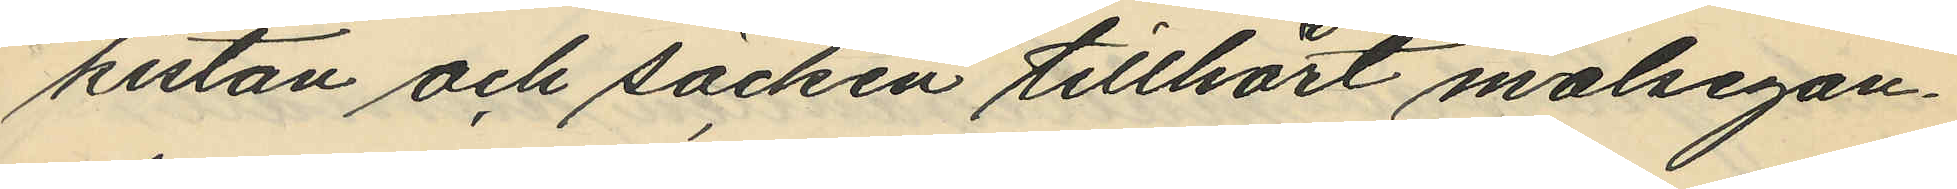kistan och säcken tillhört målsegan¬
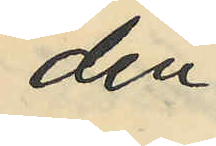den
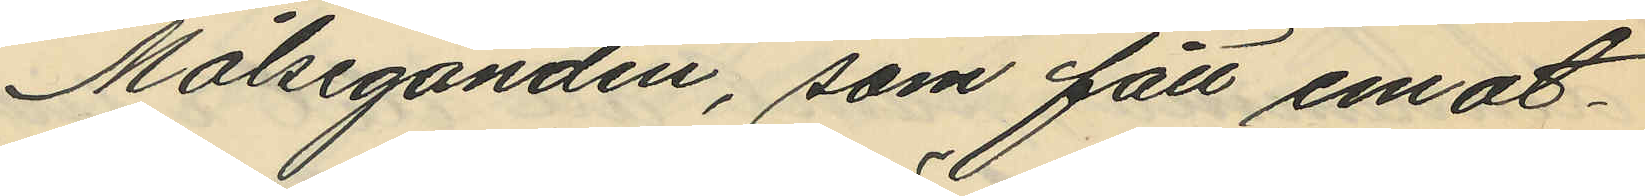Målseganden, som fått emot¬
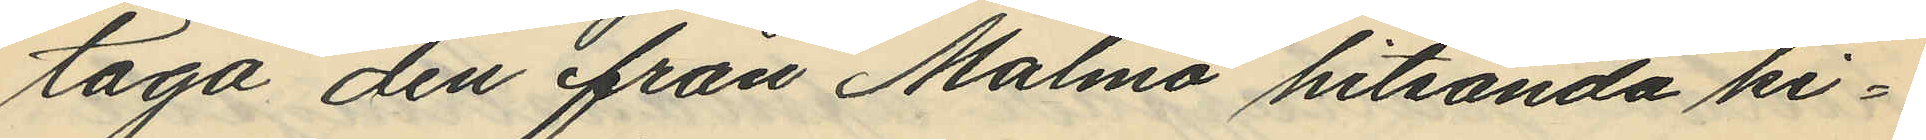taga den från Malmö hitsända ki¬
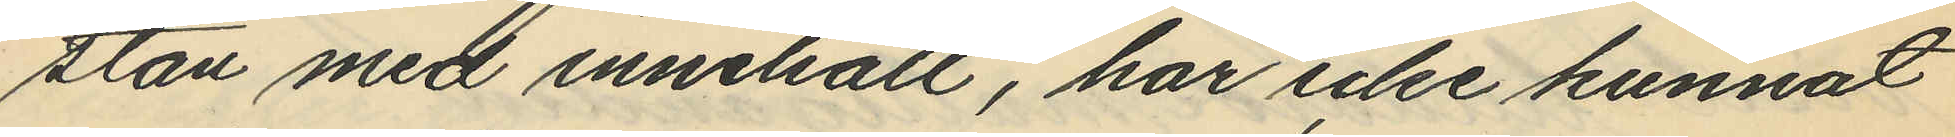stan med innehåll, har icke kunnat
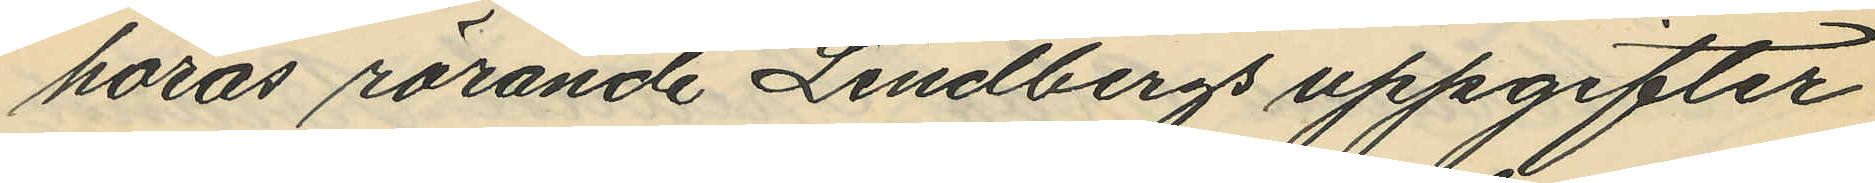höras rörande Lindbergs uppgifter
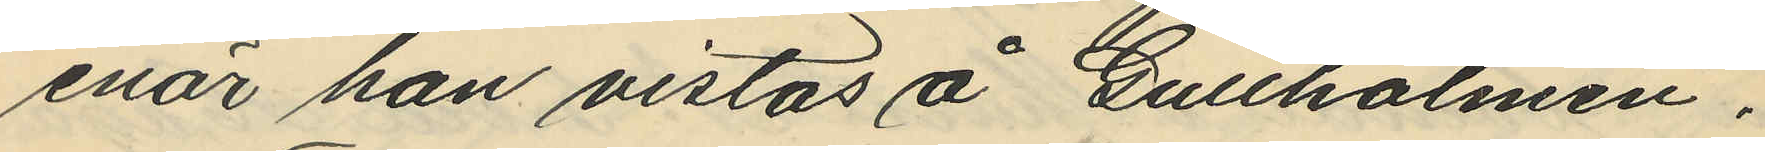enär han vistas å Gullholmen.
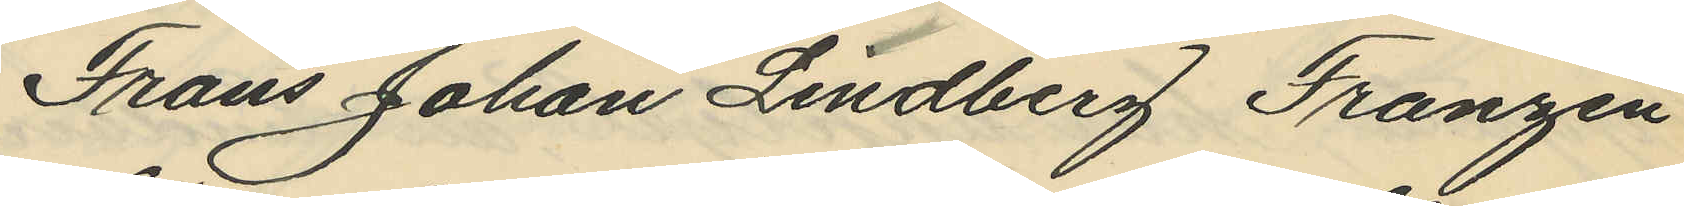Frans Johan Lindberg Franzén
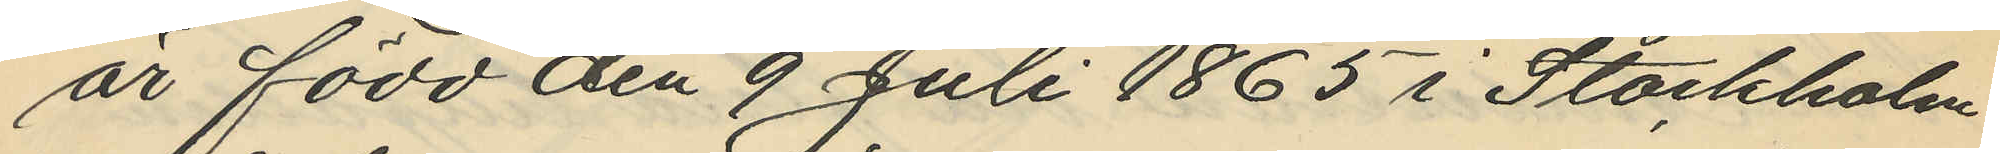är född den 9 Juli 1865 i Stockholm
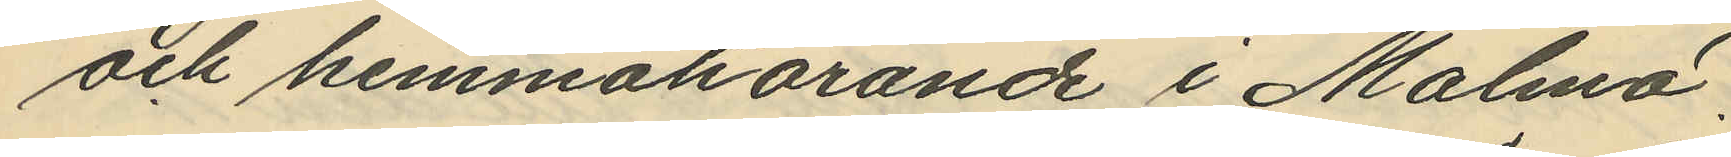och hemmahörande i Malmö.
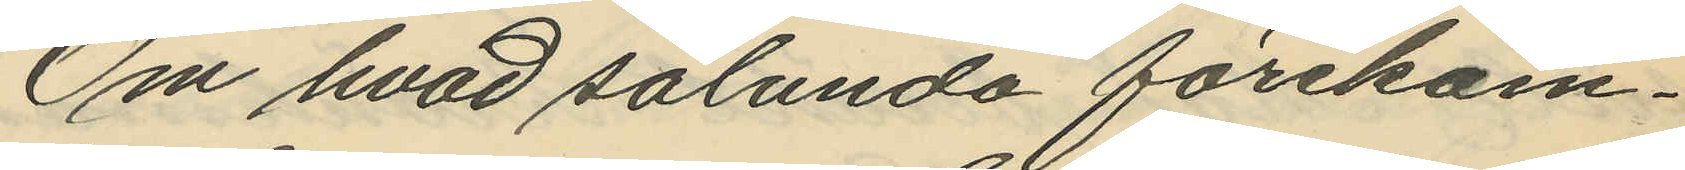Om hvad sålunda förekom¬
